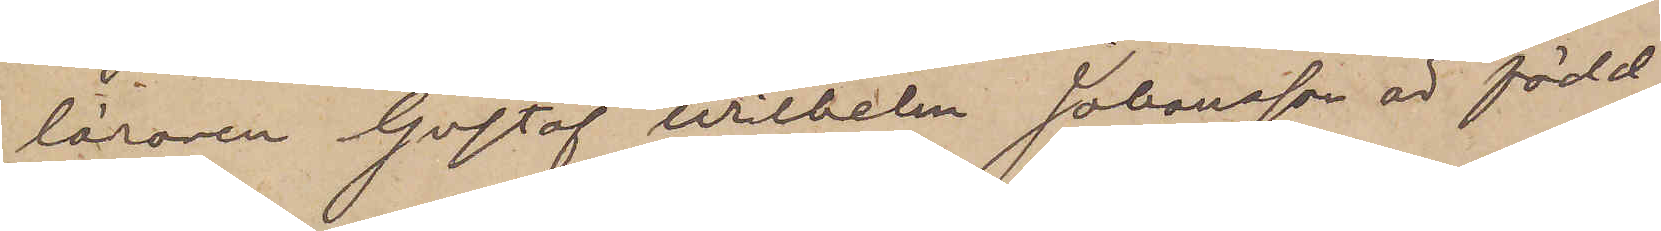läraren Gustaf Wilhelm Johansson är född
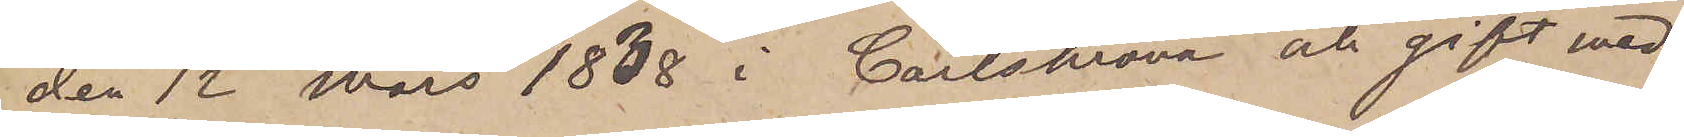den 12 Mars 1838 i Carlskrona och gift med
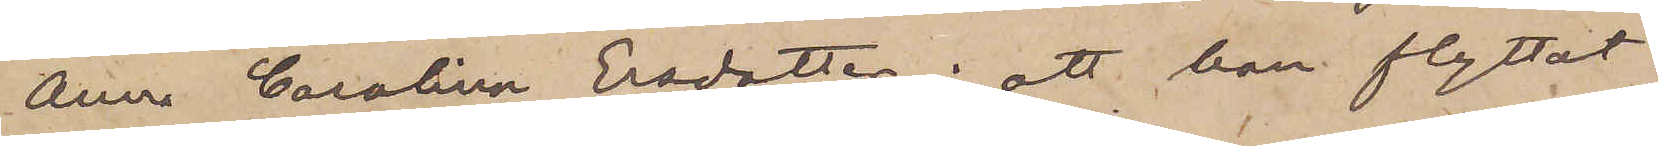Anne Carolina Ersdotter; att han flyttat
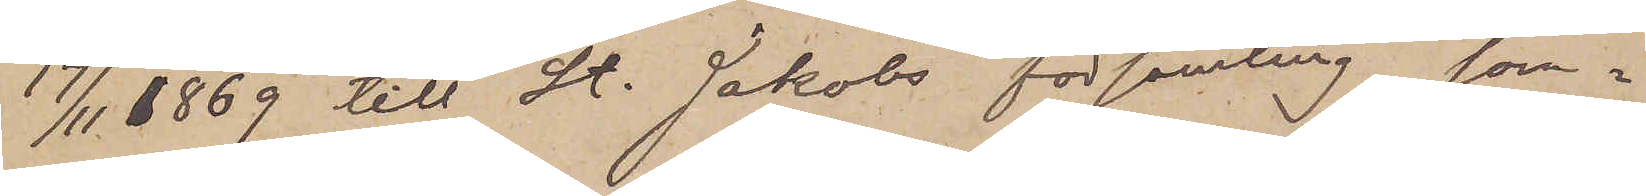17/11 1869 till St. Jakobs församling, som¬
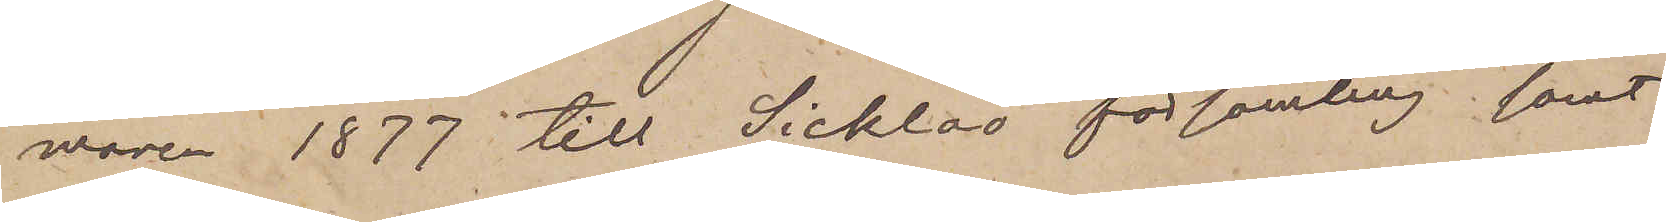maren 1877 till Sicklaö församling samt
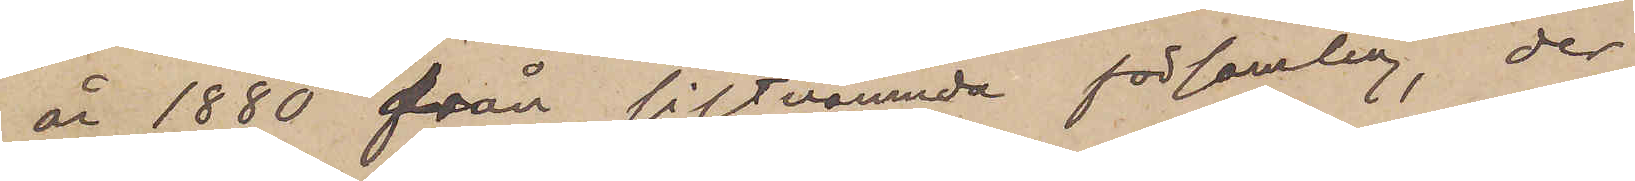år 1880 från sistnämnda församling, der
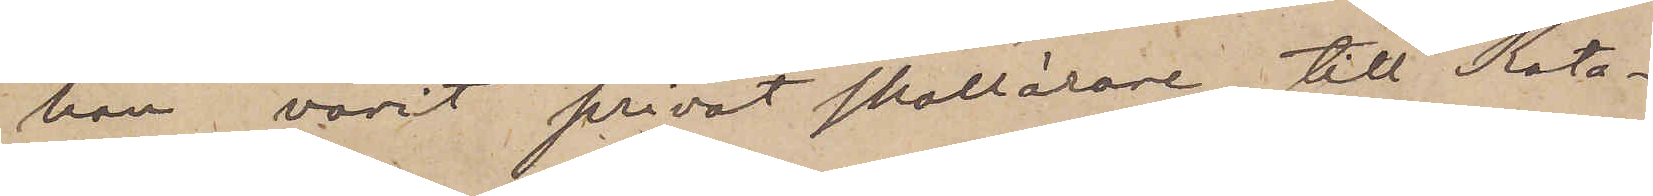han varit privat skollärare, till Kata¬
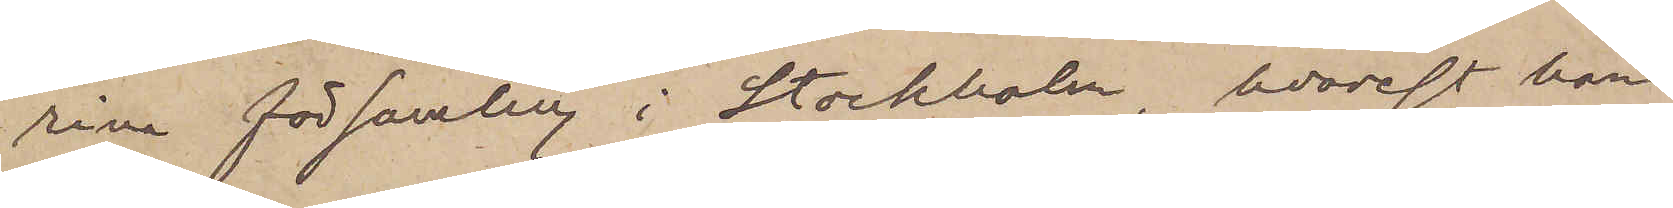rina församling i Stockholm, hvarest han
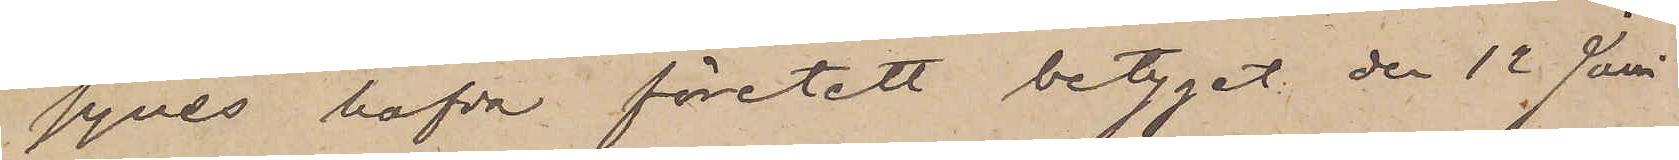synes hafva företett betyget den 12 Juni
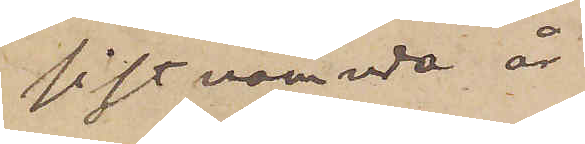sistnämnda år.
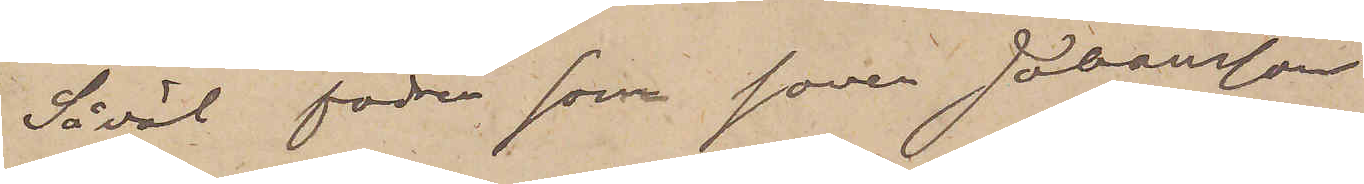Såväl fadren som sonen Johansson
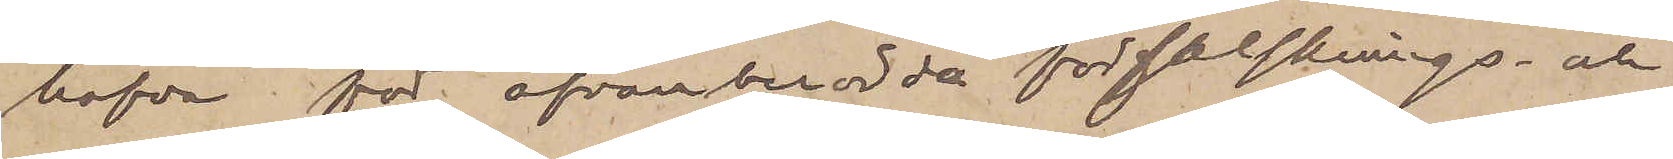hafva för ofvanberörde förfalsknings- och
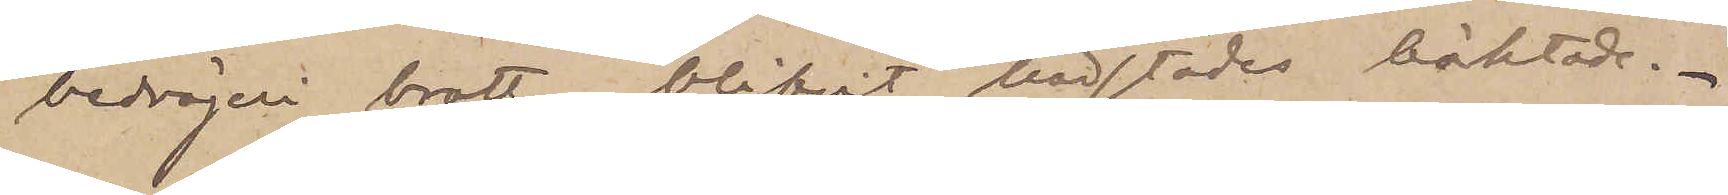bedrägeri brott blifvit härstädes häktade.
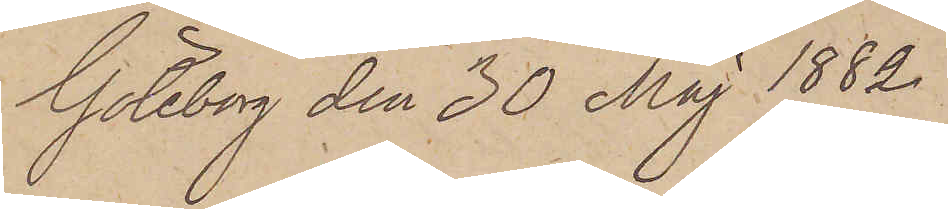Göteborg den 30 Maj 1882.
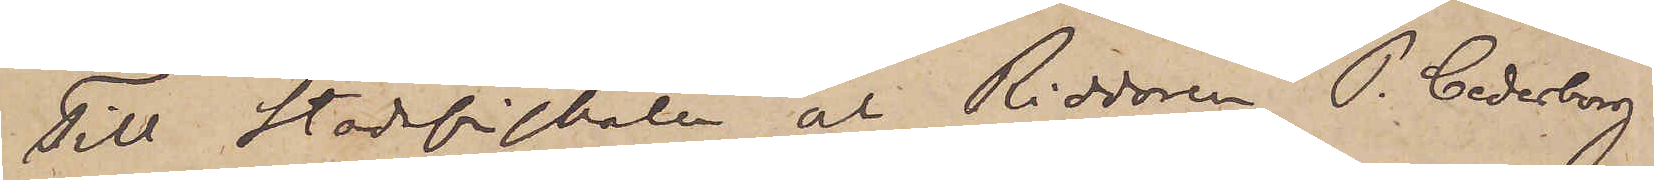Till Stadsfiskalen och Riddaren P. Cederborg
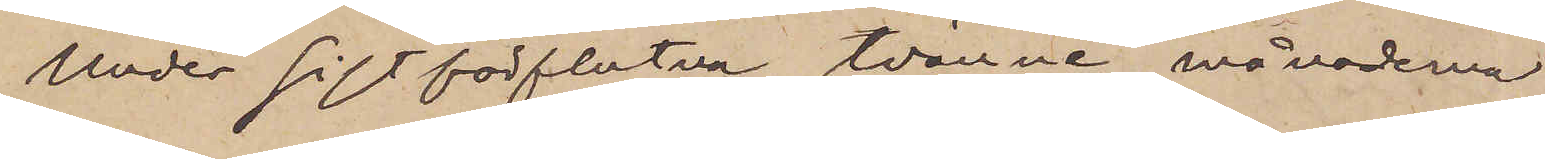Under sistförflutna tvänne månaderna
